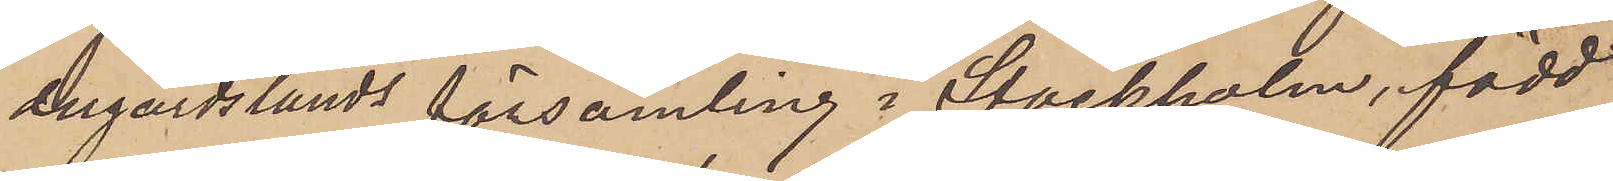dugårdslands församling i Stockholm, född
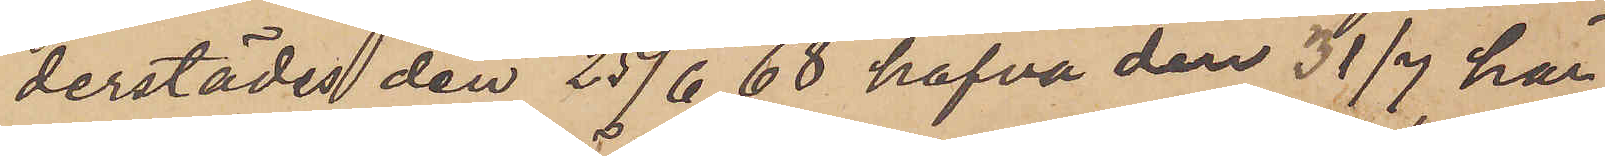derstädes den 25/6 68 hafva den 31/7 här
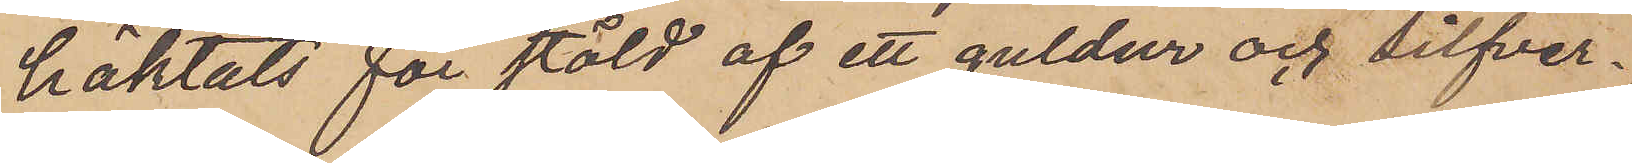häktats för stöld af ett guldur och silfver¬
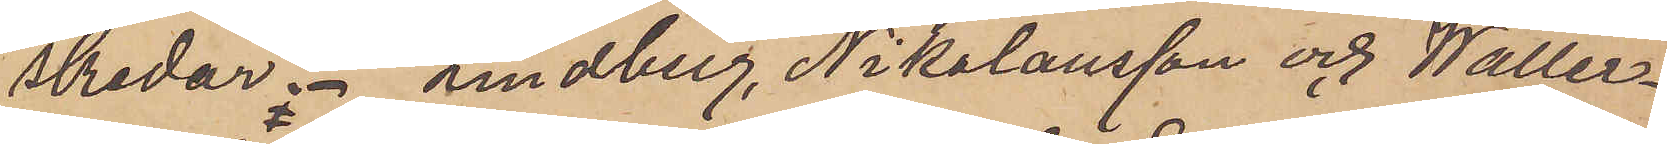skedar. Lindberg, Nikolausson och Waller¬
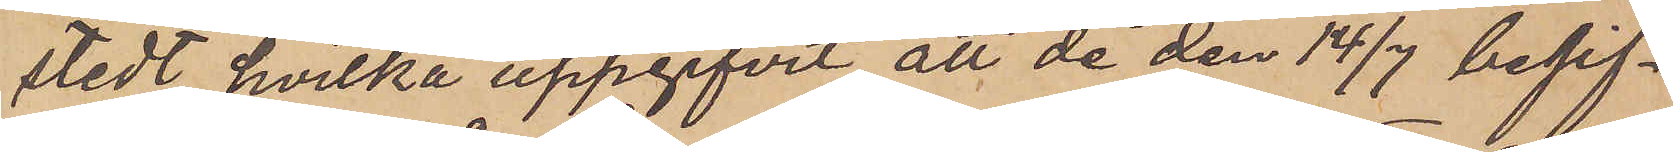stedt, hvilka uppgifvit att de den 14/7 begif¬
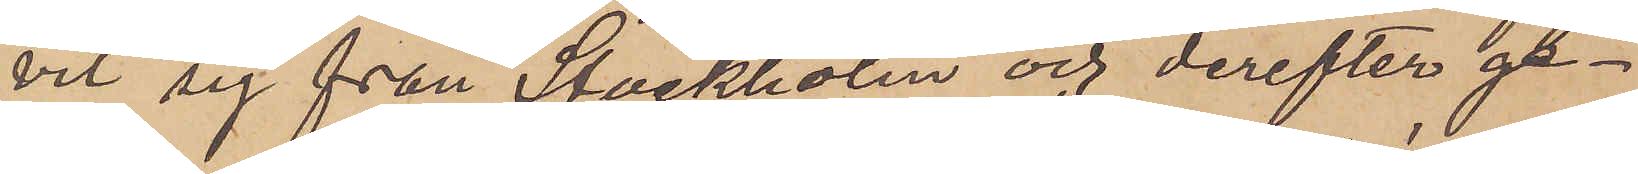vit sig från Stockholm och derefter ge¬
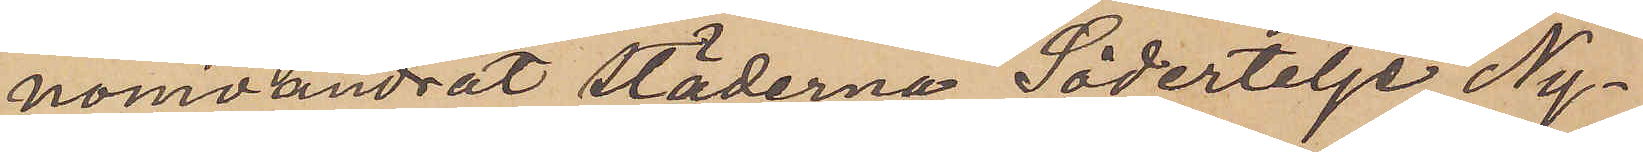nomvandrat städerna Södertelje, Ny¬
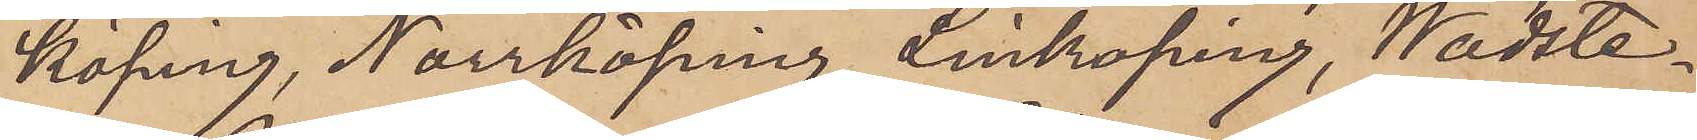köping, Norrköping, Linköping, Wadste¬
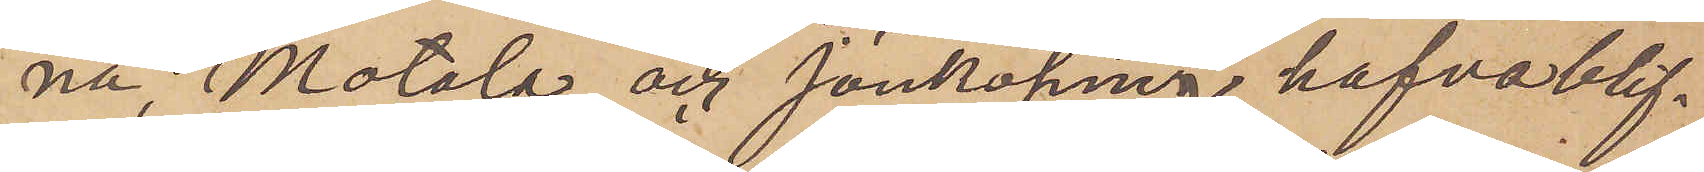na, Motala och Jönköping hafva blif¬
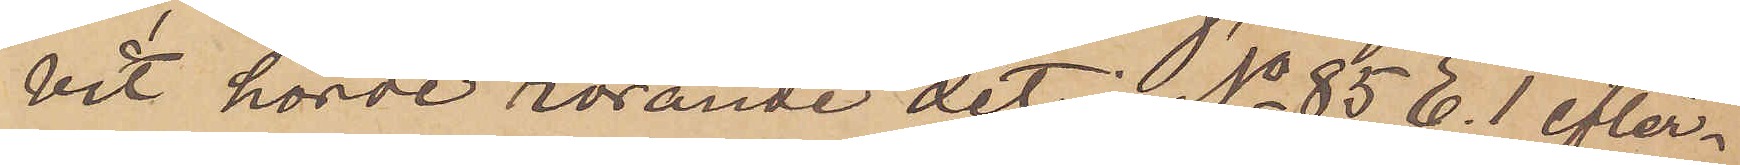vit hörde rörande det i No 85 E. 1 efter¬
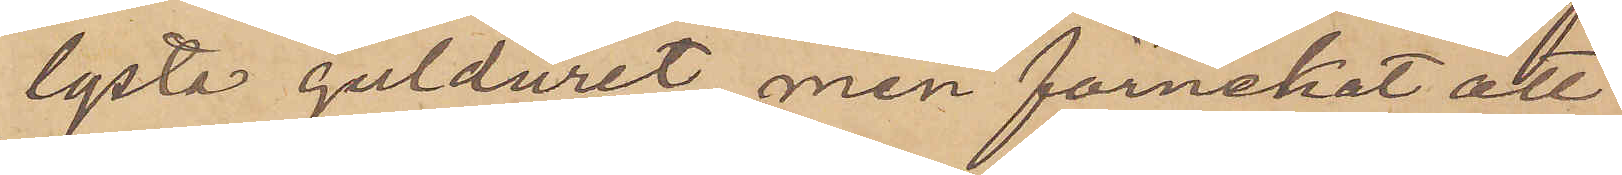lysta gulduret, men förnekat att
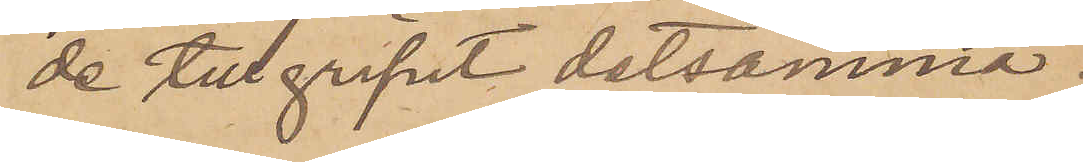de tillgripit detsamma.
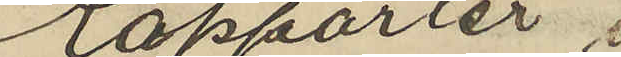Rapporter i
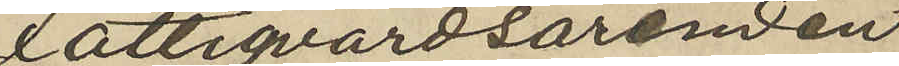Fattigvårdsärenden
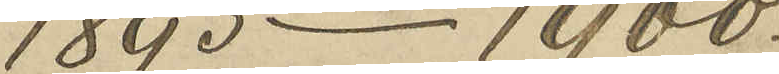1893-1900.
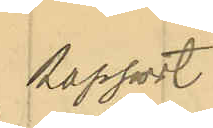Rapport
